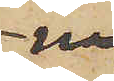na
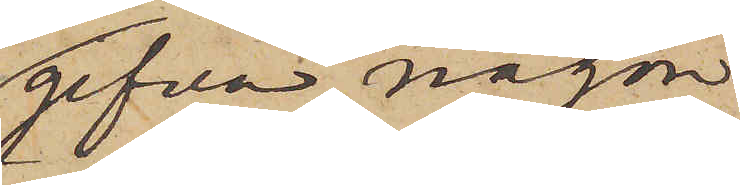gifva någon
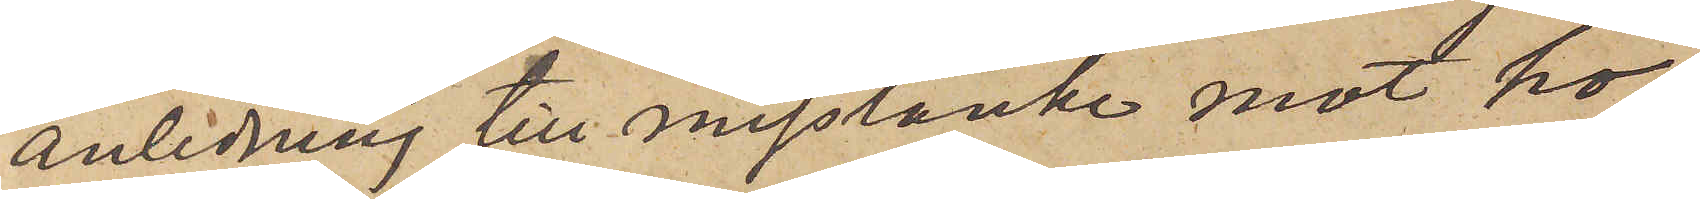anledning till misstanke mot ho¬
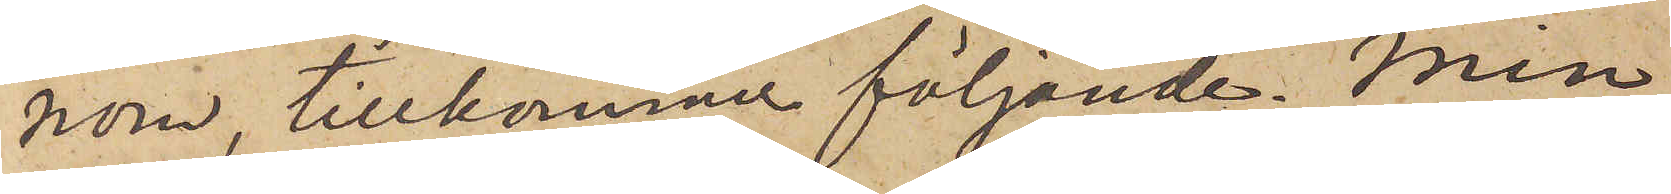nom, tillkommer följande. Min
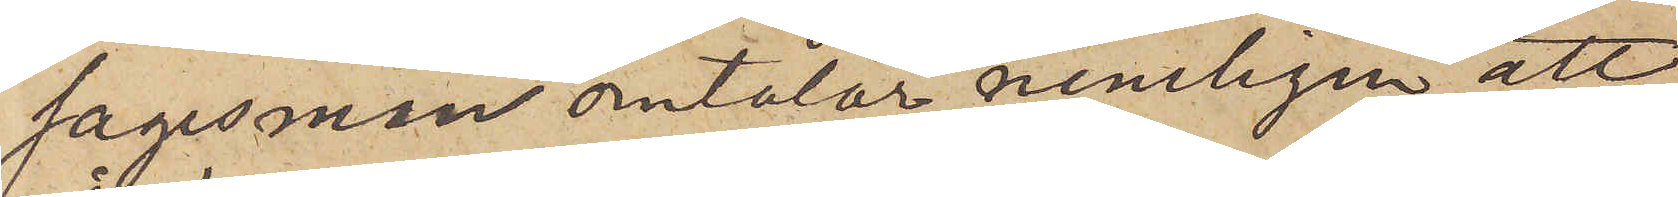sagesman omtalar nemligen att
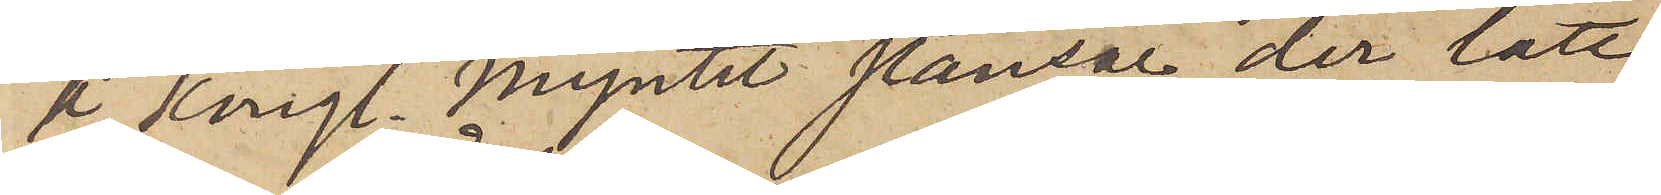å Kungl. Myntet stansar der lätt
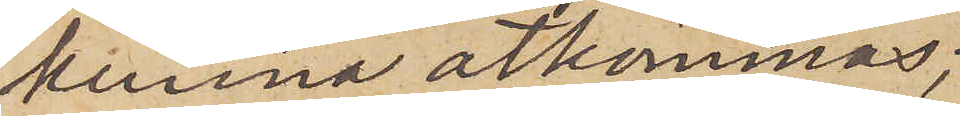kunna åtkomnas,
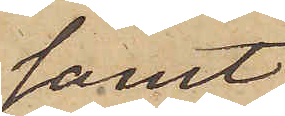samt
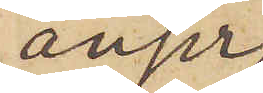anser,
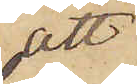att
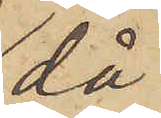då
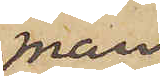man
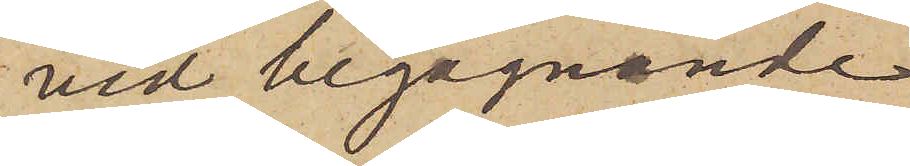vid begagnande
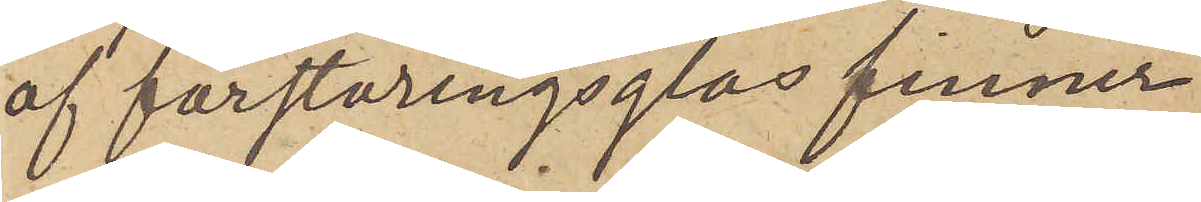af förstoringsglas finner
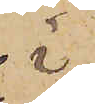i
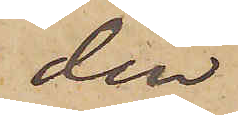den
